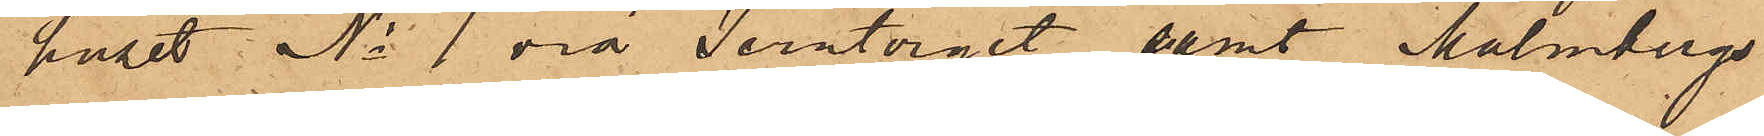huset No 1 vid Jerntorget, samt Malmbergs
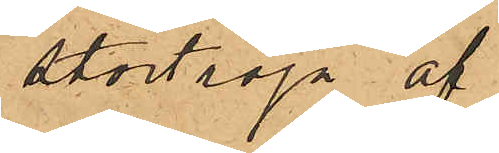stortröja af
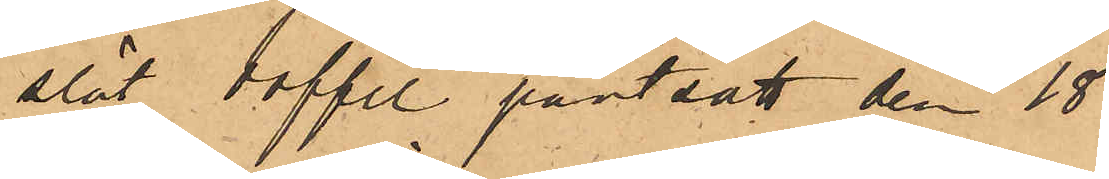slät doffel pantsatt den 18
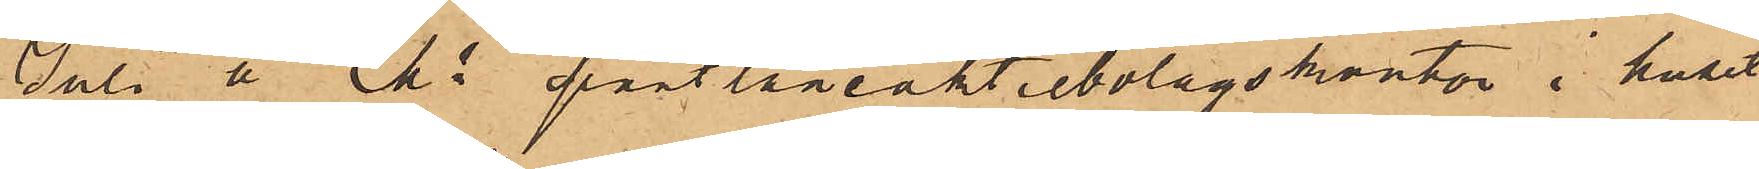Juli å Ms pantlåneaktiebolagskontor i huset
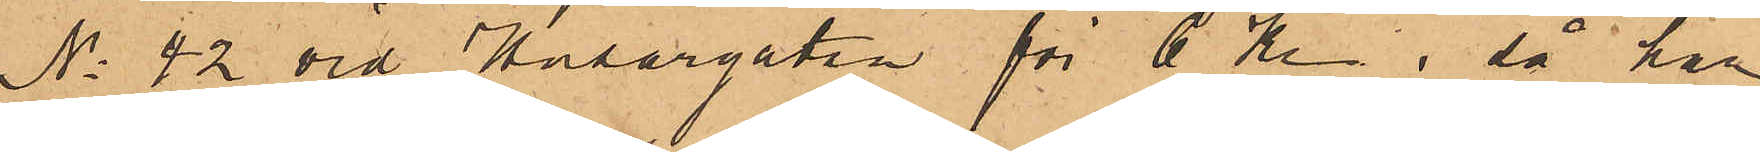No 42 vid Husargatan för 6 Kr, så har
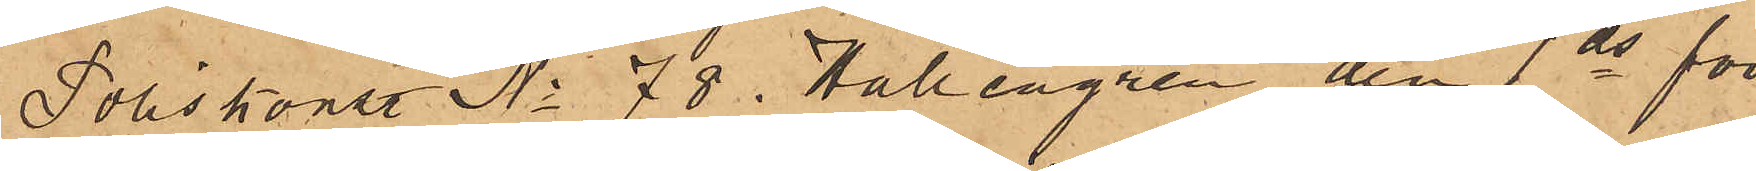Poliskonstl No 78 Hallengren den 1 ds för
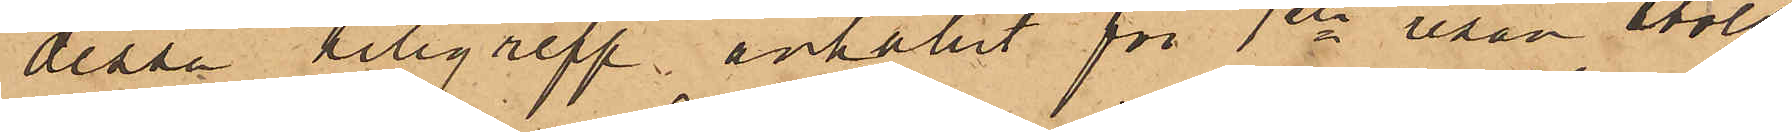dessa tillgrepp anhållit för 1sta resan stöld
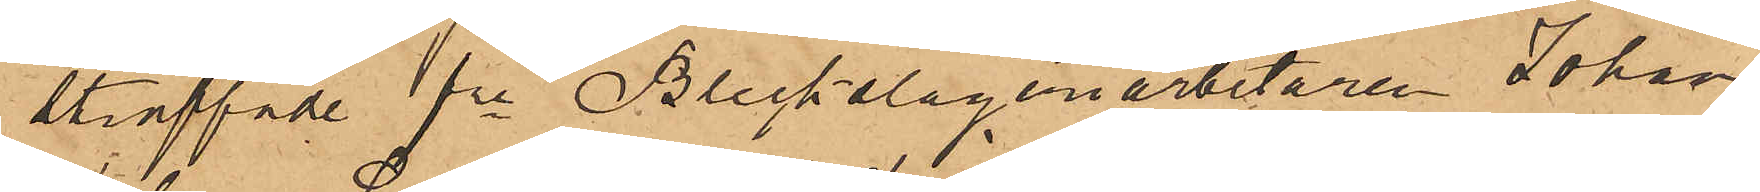straffade fre Bleckslageriarbetaren Johan
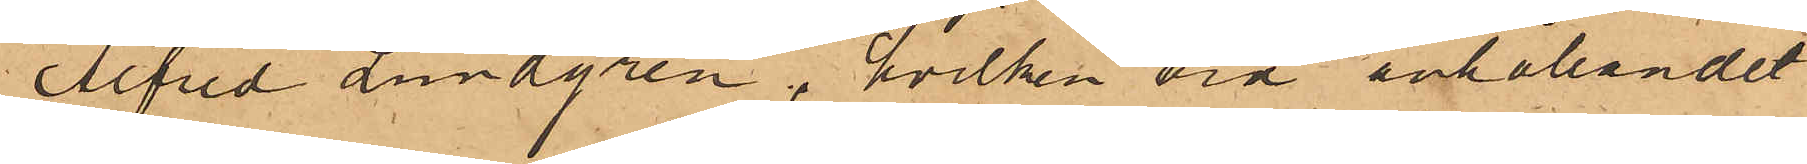Alfred Lundgren, hvilken vid anhållandet
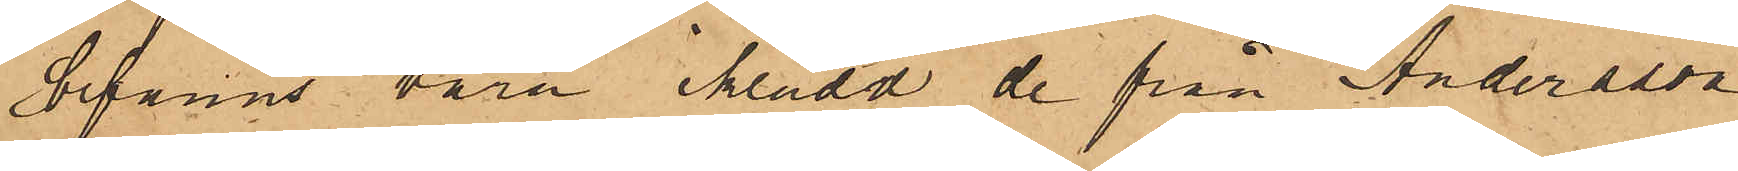befanns vara iklädd de från Andersson
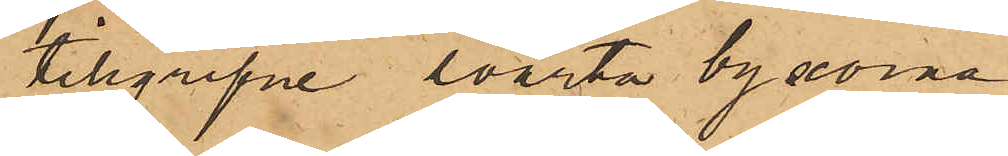tillgripne svarta byxorna.
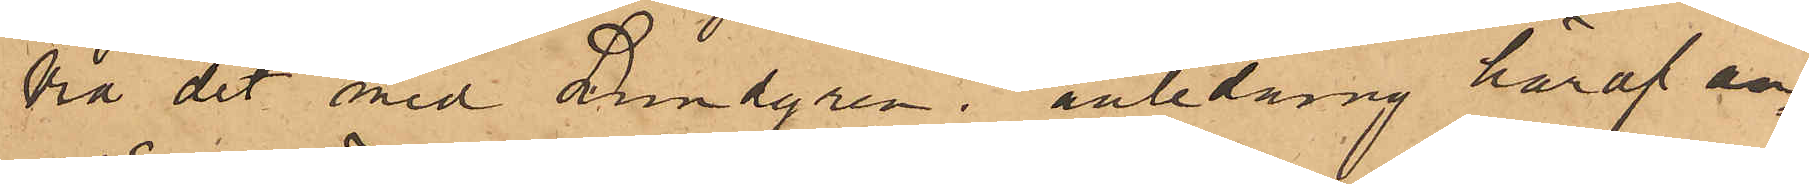Vid det med Lundgren i anledning häraf an¬
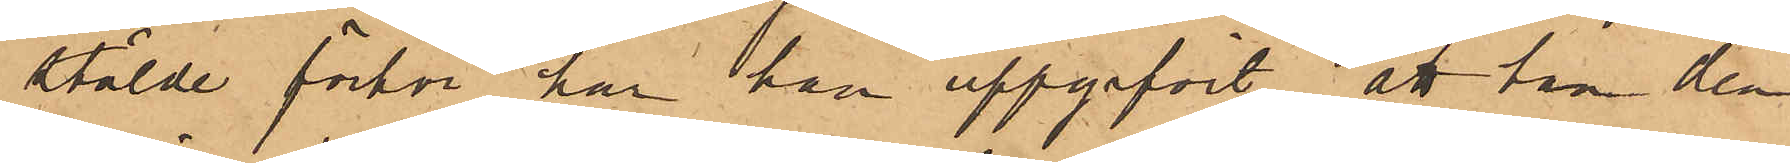stälde förhör har han uppgifvit, att han den
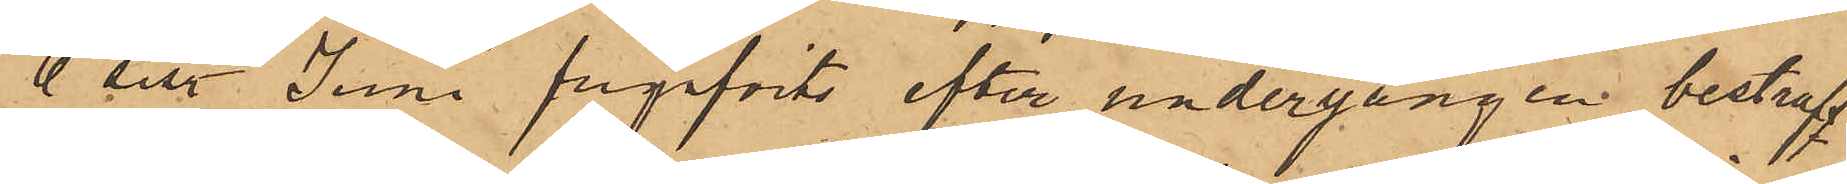6 sist. Juni frigifvits efter undergången bestraff¬
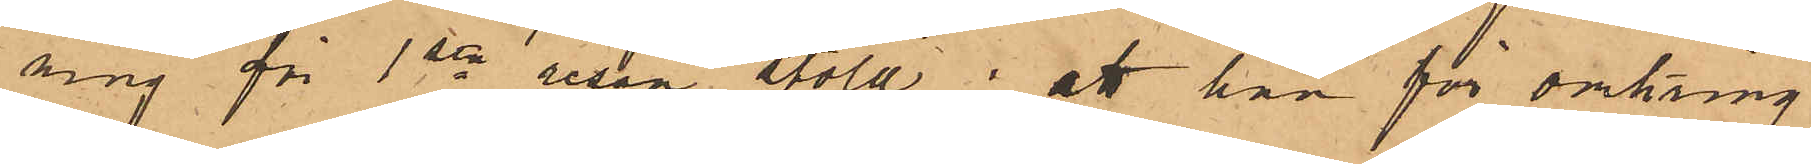ning för 1sta resan stöld; att han för omkring
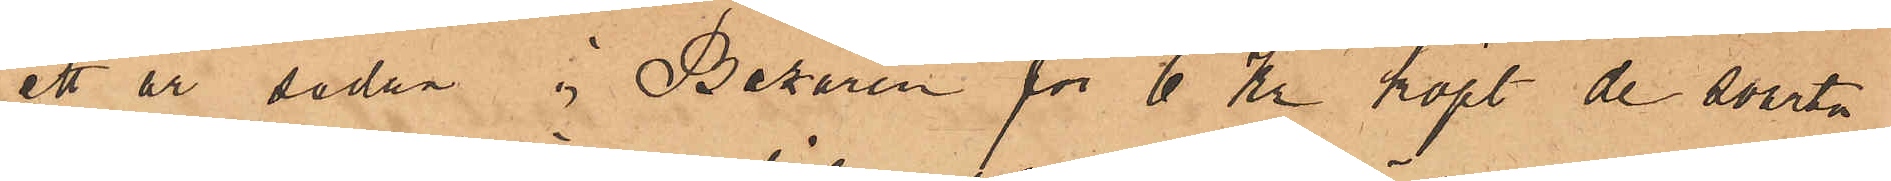ett år sedan i Bazaren för 6 Kr köpt de svarta
